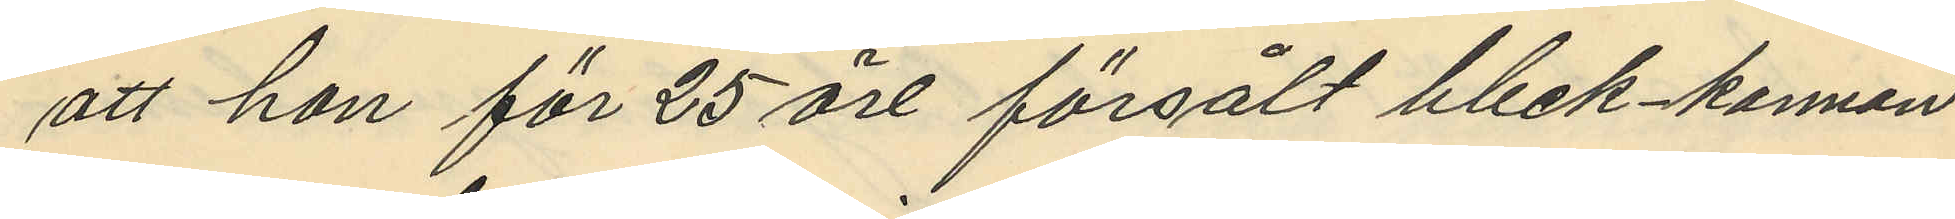att hon för 25 öre försålt bleck kannan
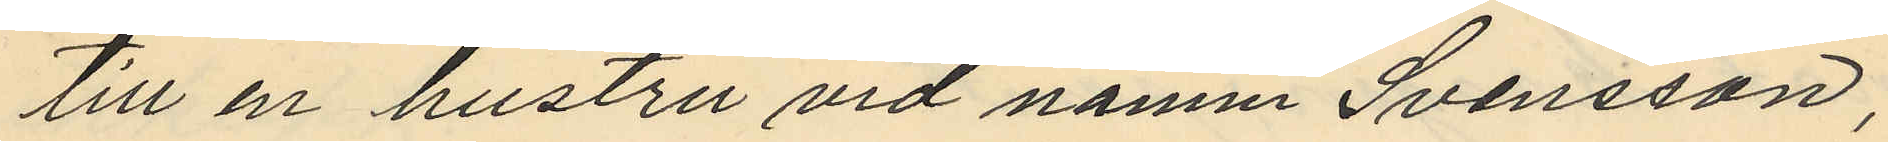till en hustru vid namn Svensson,
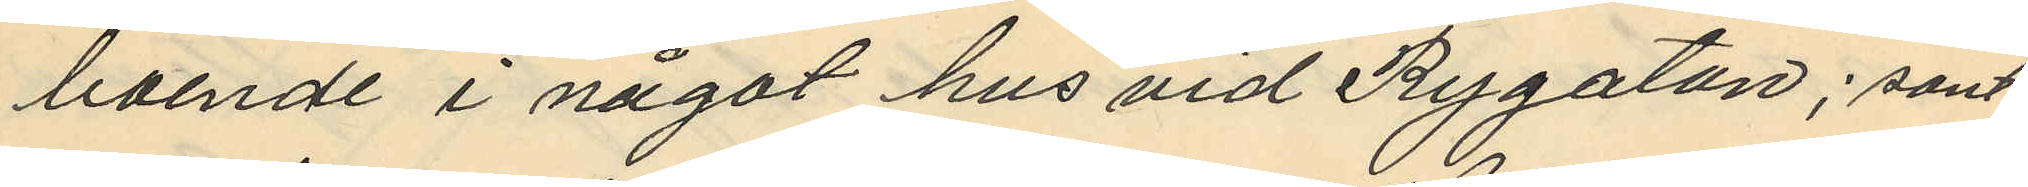boende i något hus vid Rygatan; samt
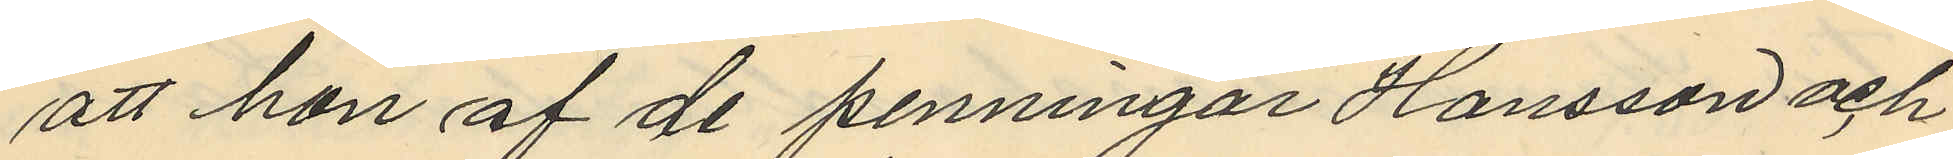att hon af de penningar Hansson och
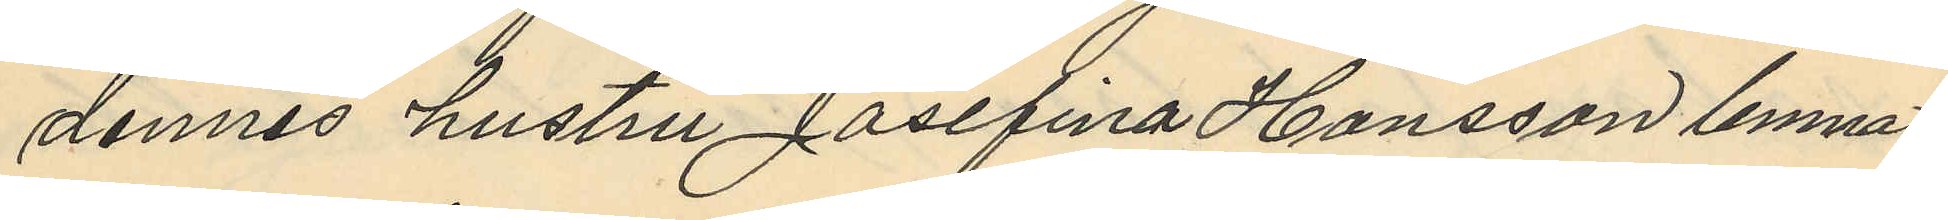dennes hustru Josefina Hansson lemnat
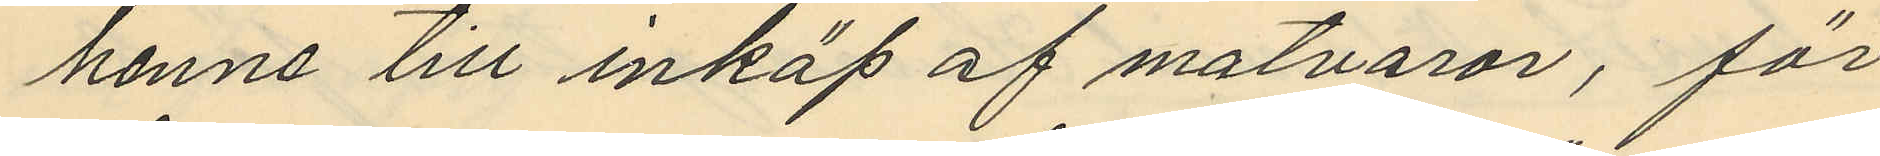henne till inköp af matvaror, för
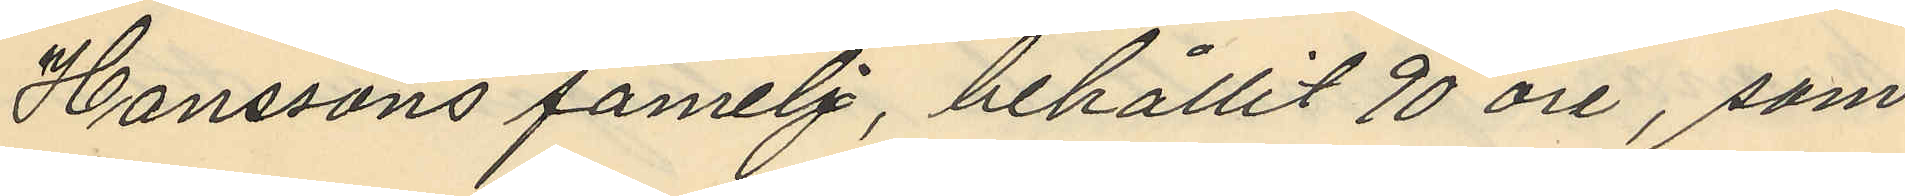Hanssons famelj, behållit 90 öre, som
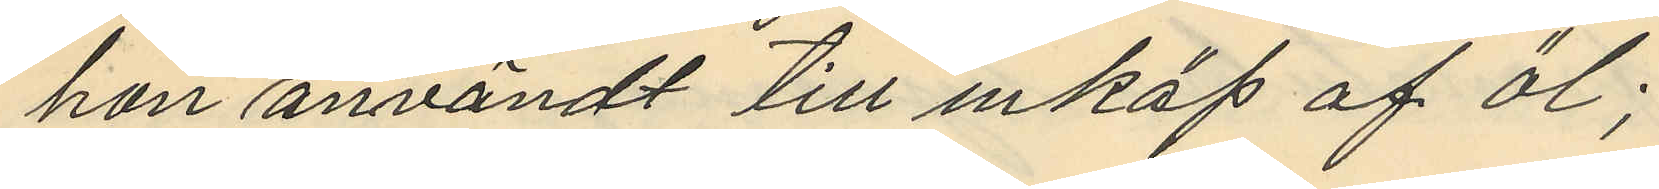hon användt till inköp af öl;
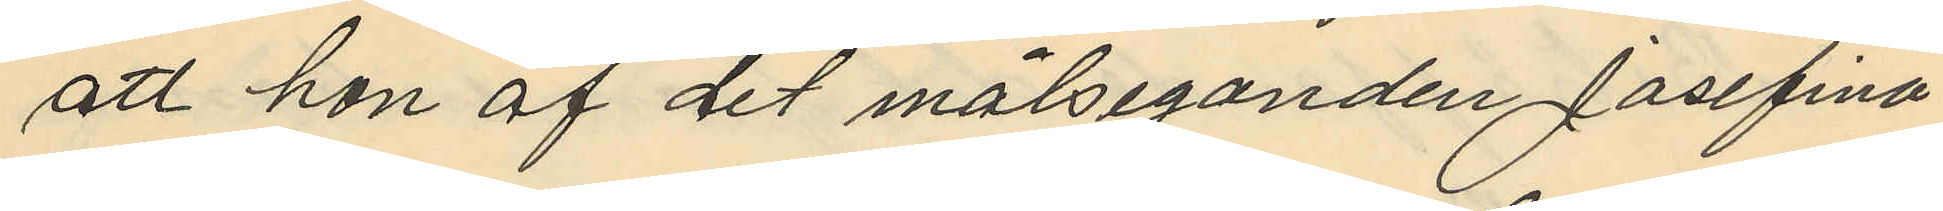att hon af det målseganden Josefina
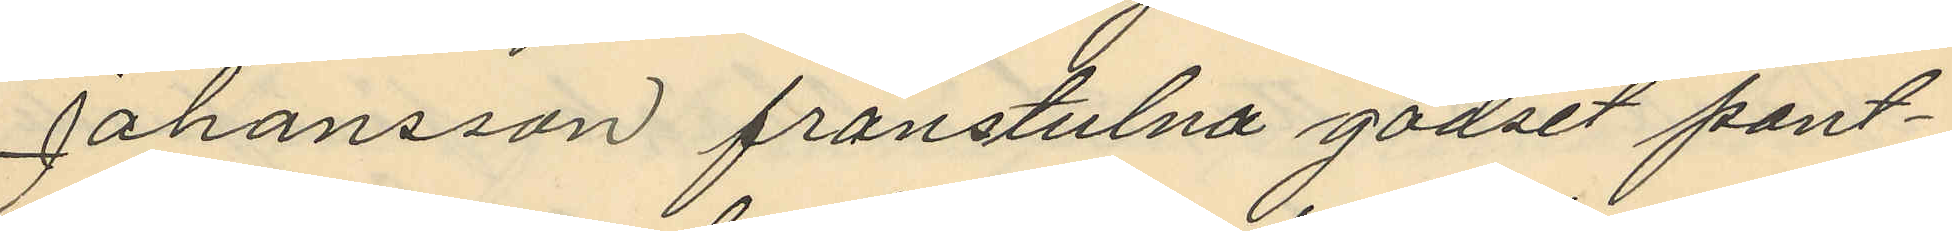Johansson frånstulna godset pant¬
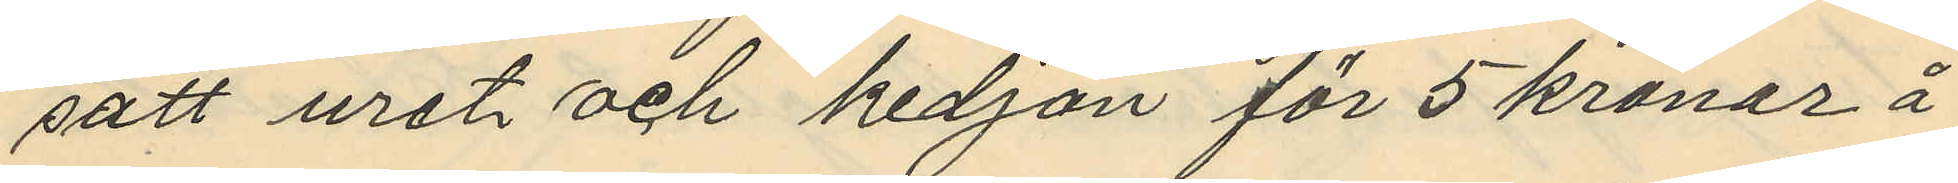satt uret och kedjan för 5 kronor å
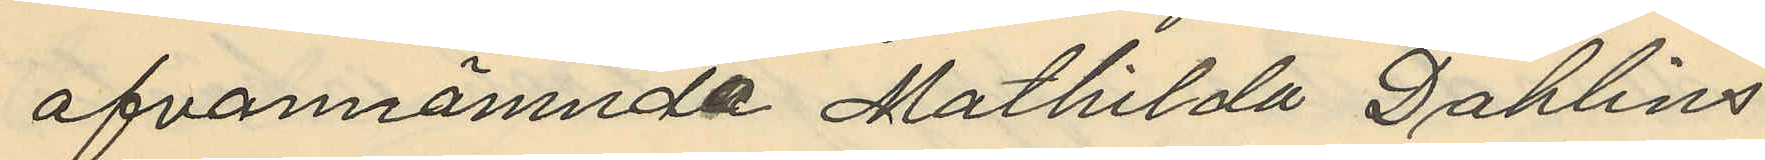ofvannämnda Mathilda Dahlins
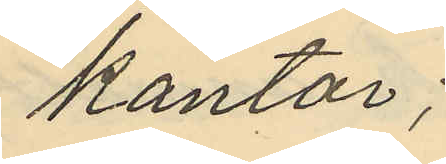kontor;
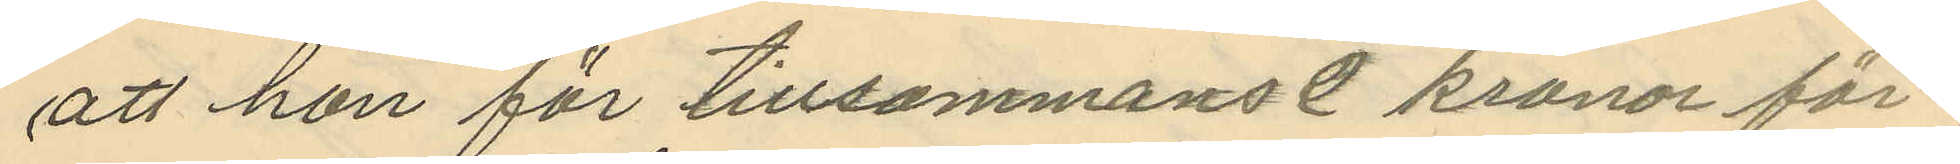att hon för tillsammans 2 kronor för¬
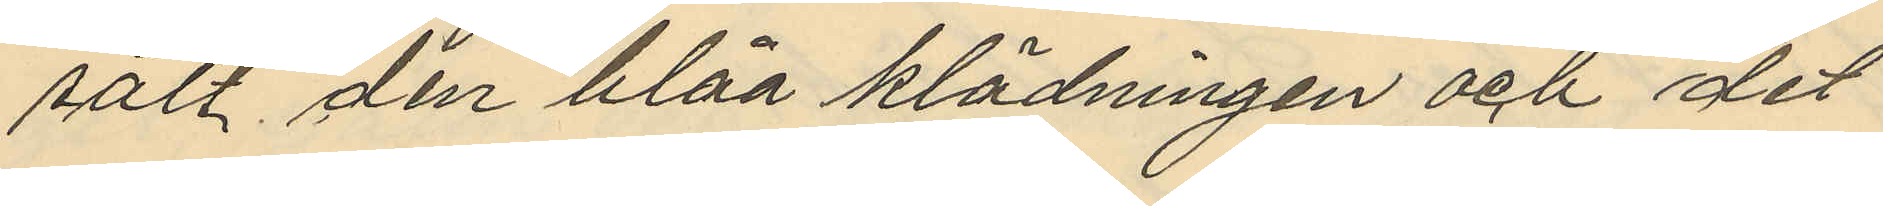sålt den blåa klädningen och det
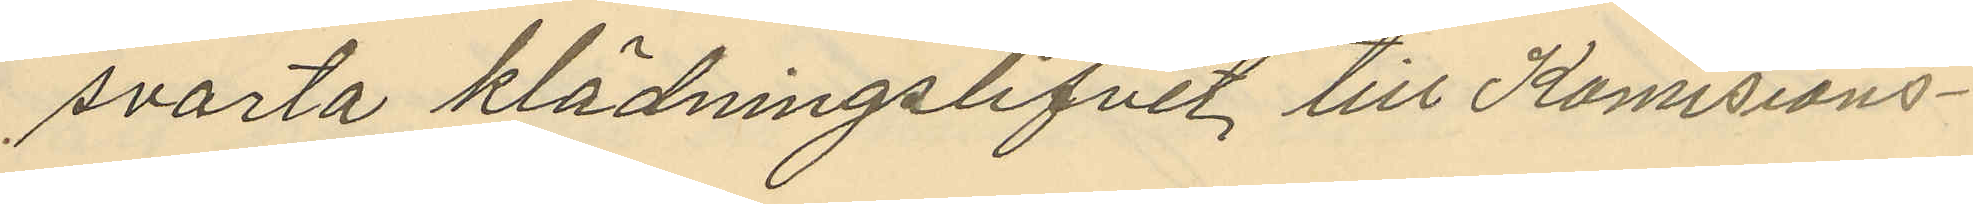svarta klädningslifvet till Kommisions¬
